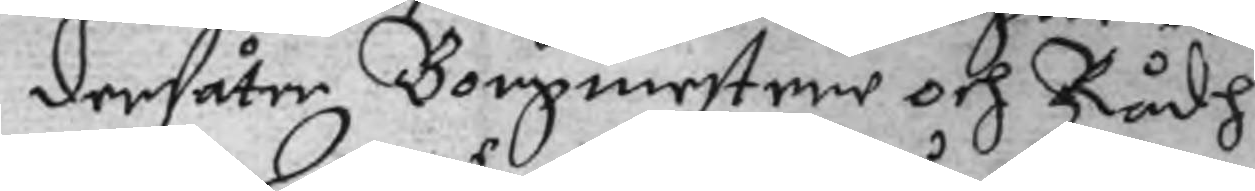dersåter Borgmestere och Rådh
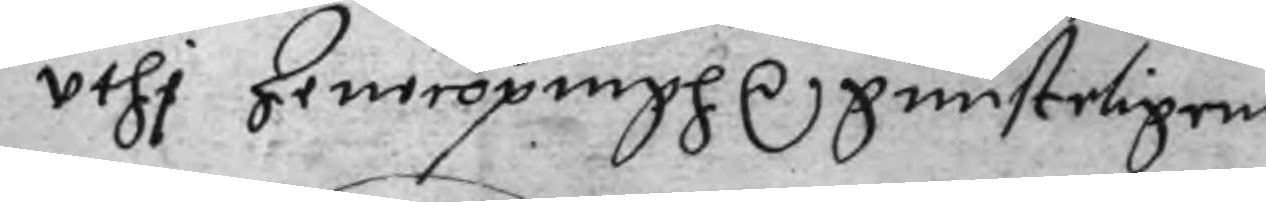uthi Jenecöpingh r gunsteligen
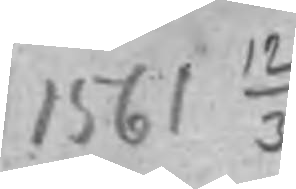1561 12/3
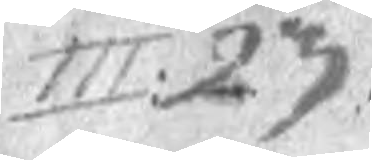III: 23.
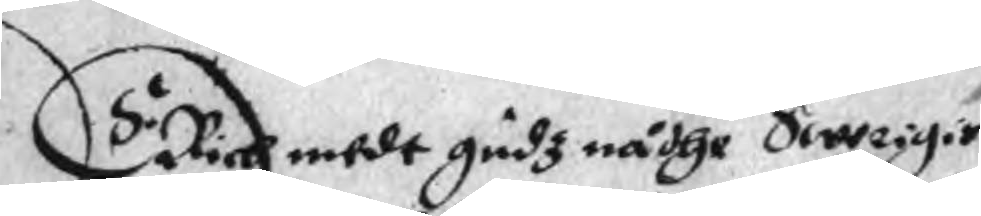ERich medt gudz nådhe Swerigis
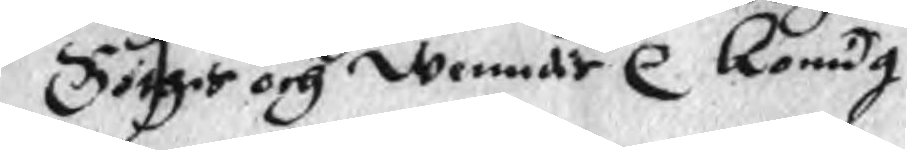Göthis och Wenndis r Konug
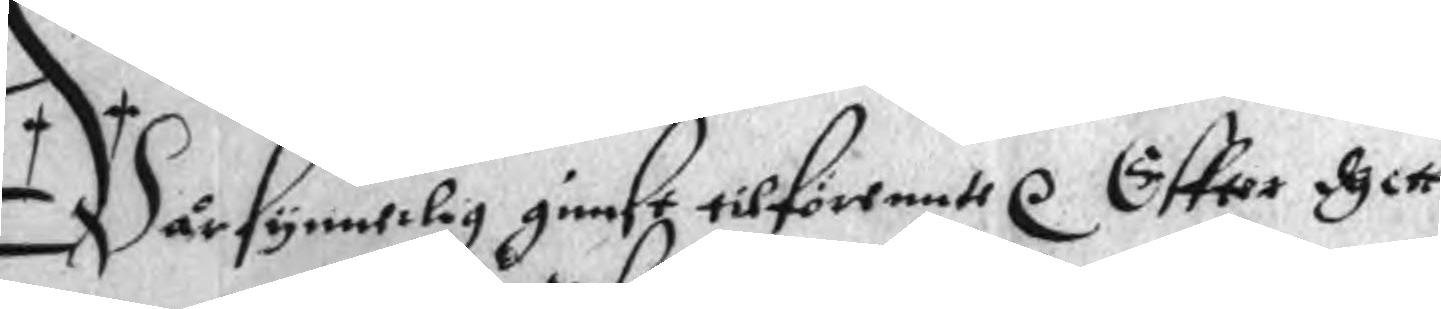Wår synnerlig gunst tilförennte r. Effter dhett
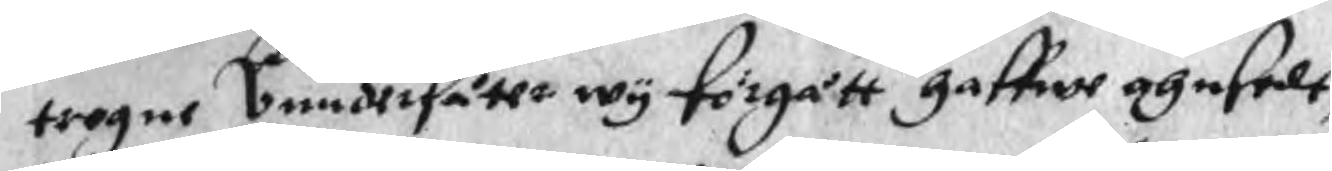trogne Undersåtte wy förgått gaffwe ahnsedt
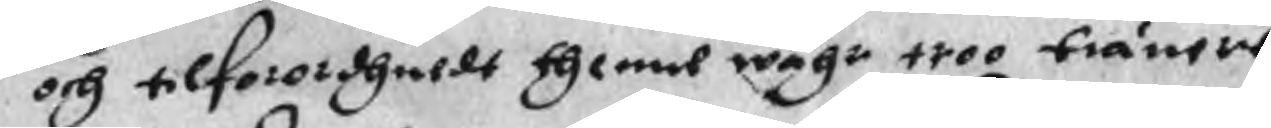och tilforordhuldt thenne wåhr troo tiänere
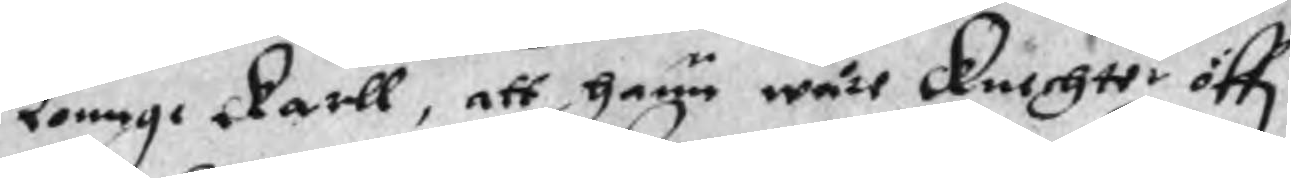Lonnge karll, att hann wåre Knechtt öff
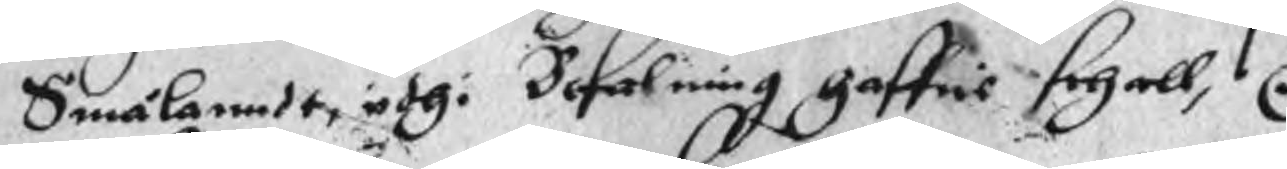Smålanndt uthi Befalning haffis schall, r
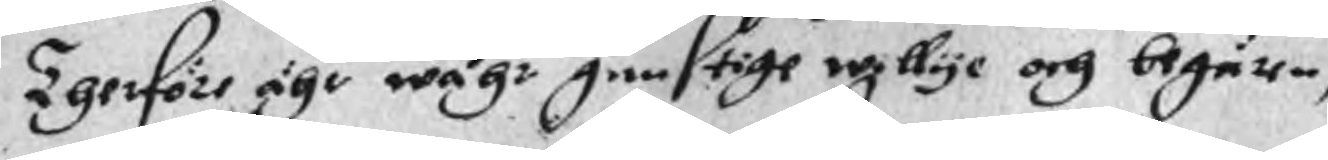Therföre ähr wåhr gunstige willye och begär,
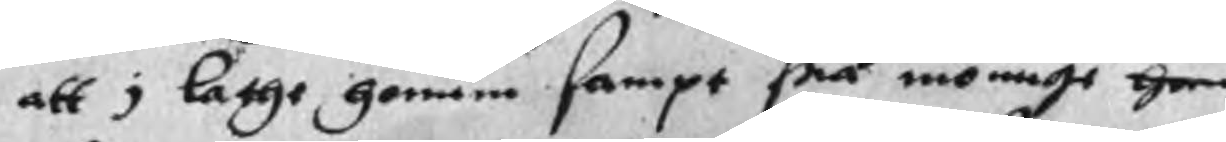att i lathe honom sampt srå monnge gen
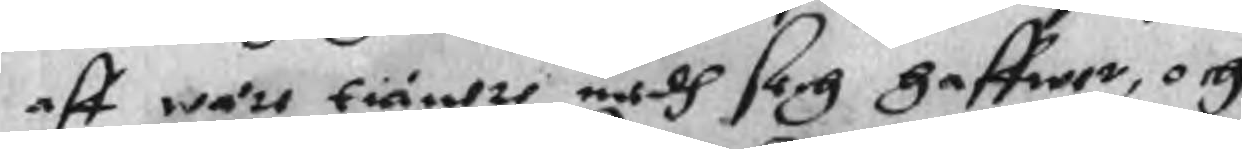aff wåre tiänere medh sich haffwer, och
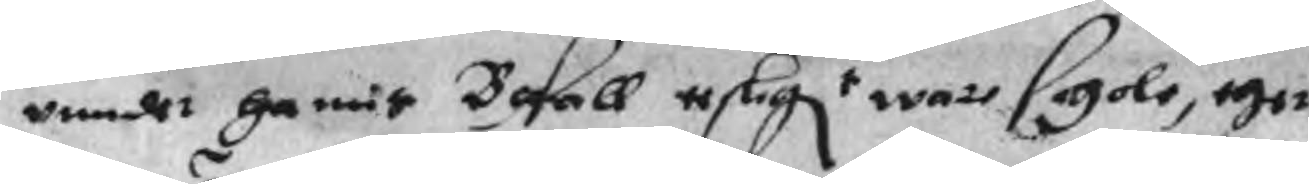under hanis Befall esligt ware schole, ther
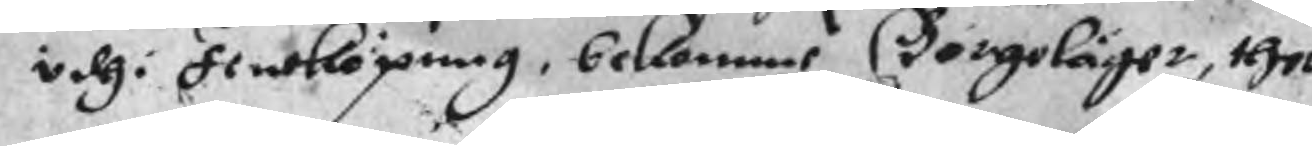udhi  Jeneköping, bekomme Borgeläger, ther
